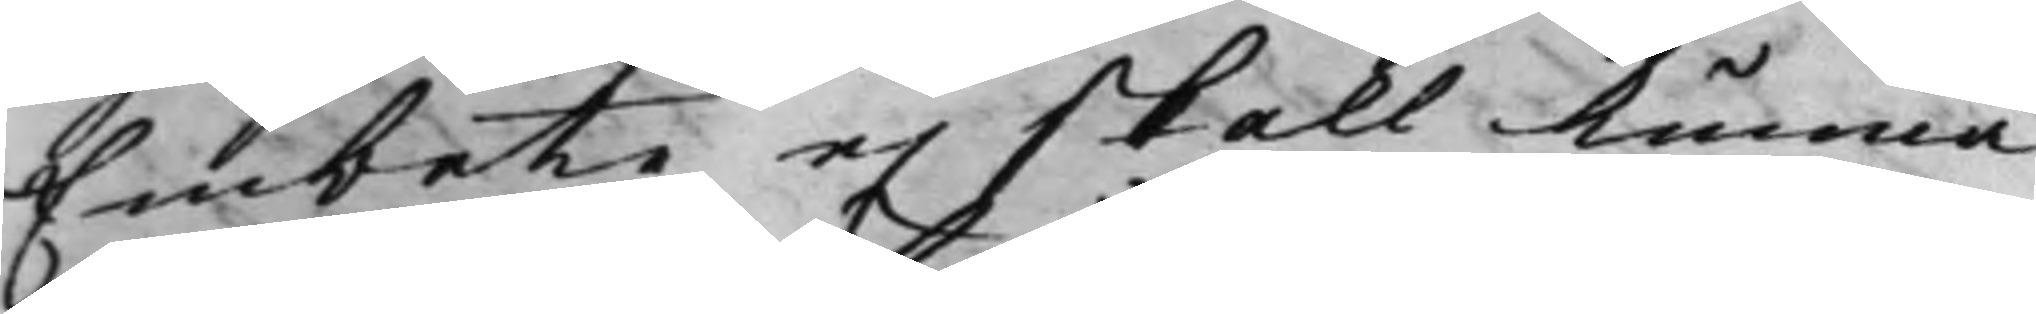Embete ej skall kunna
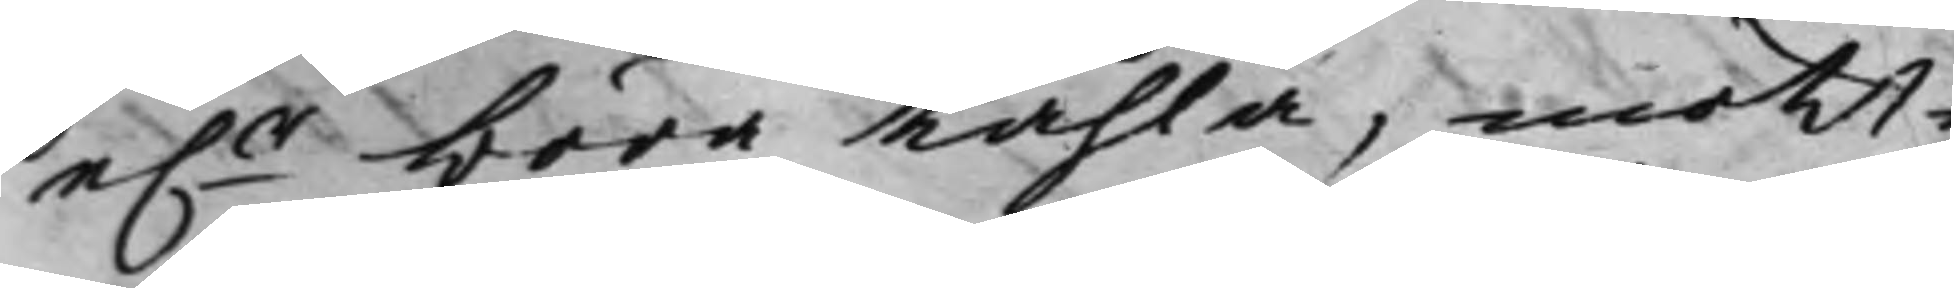e.r böra tåhla, motte
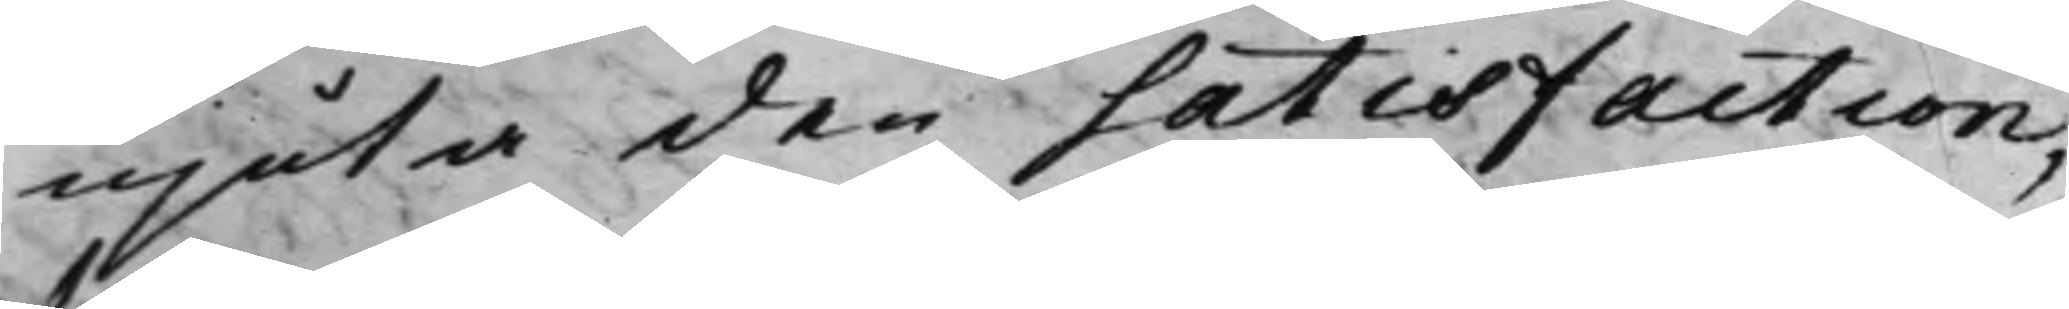njuta den satisfaction,
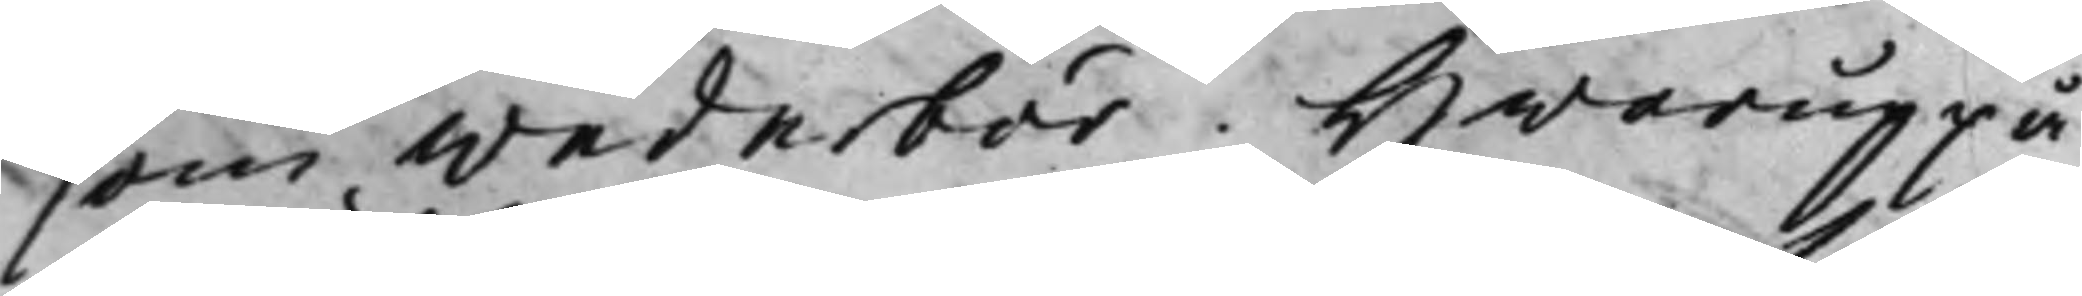som wederbör. Hwaruppå
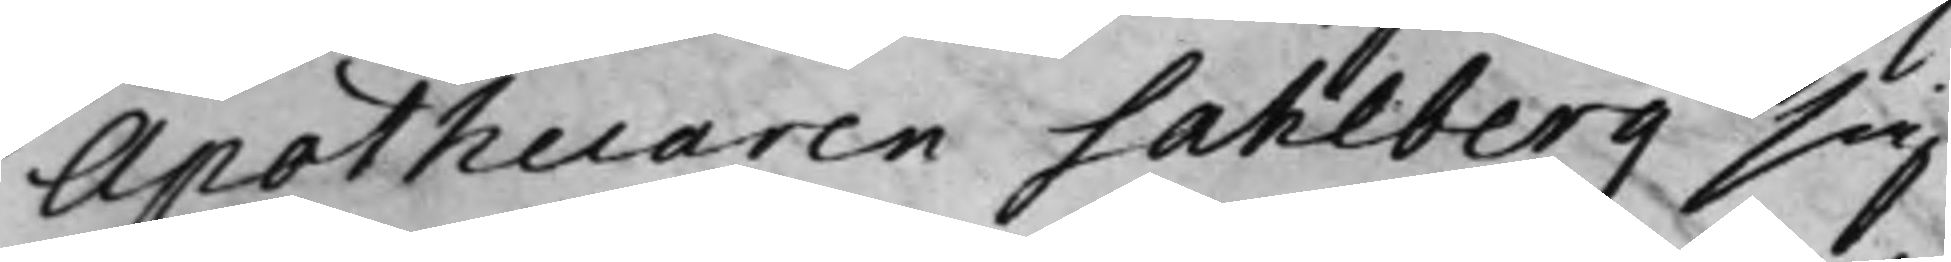Apothecaren Sahlberg sig
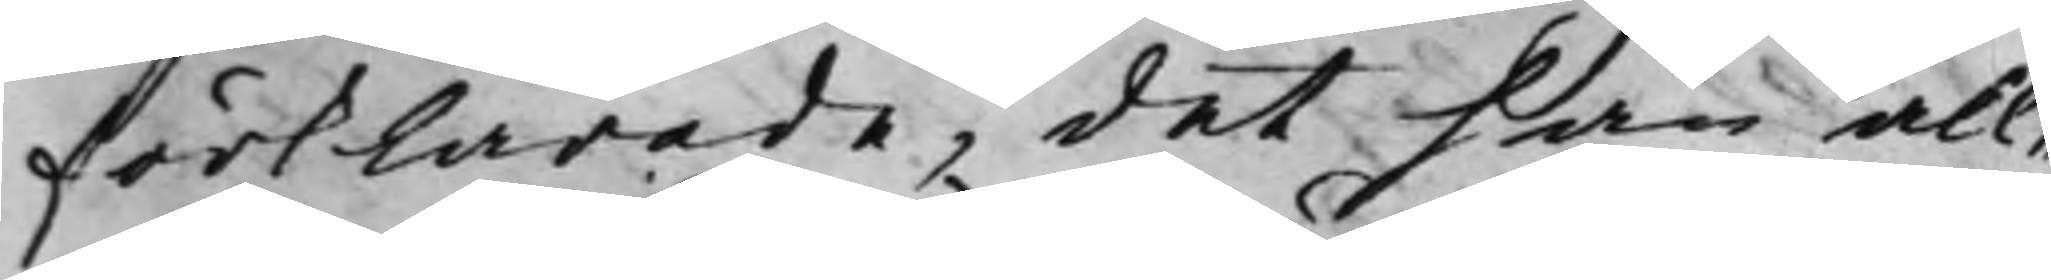förklarade, det han all¬
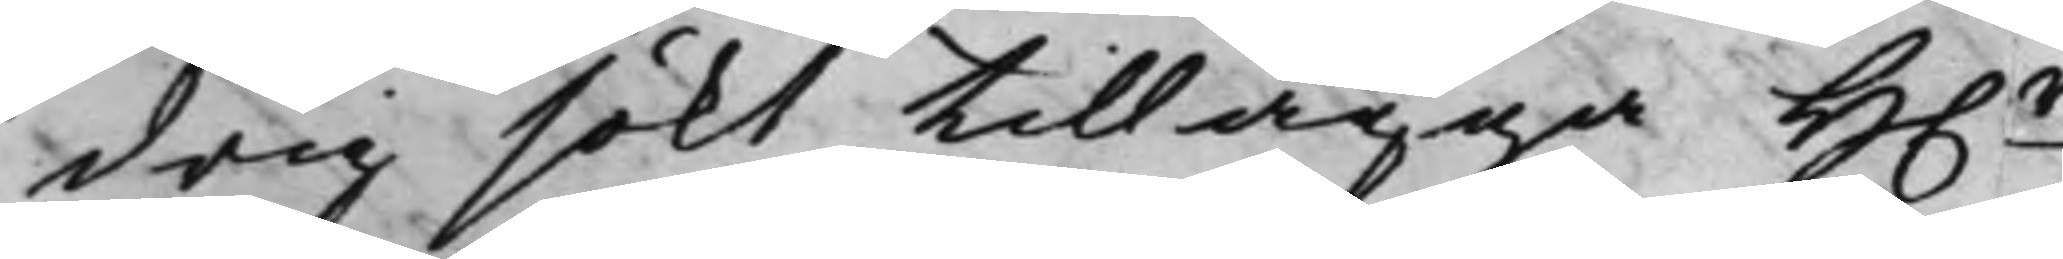drig sökt tillägga H.r
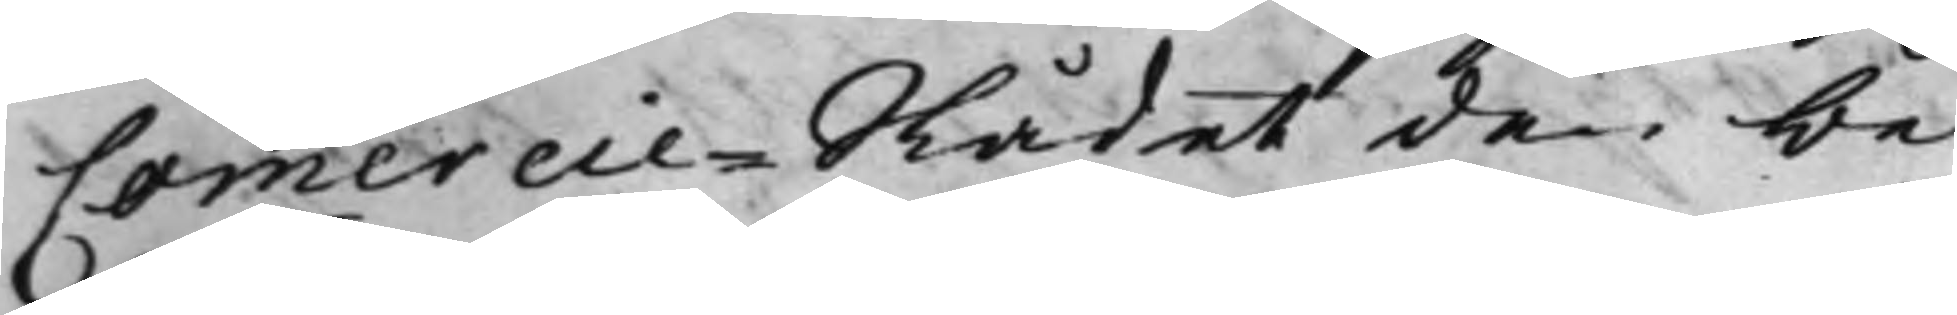Commercie-Rådet den be¬
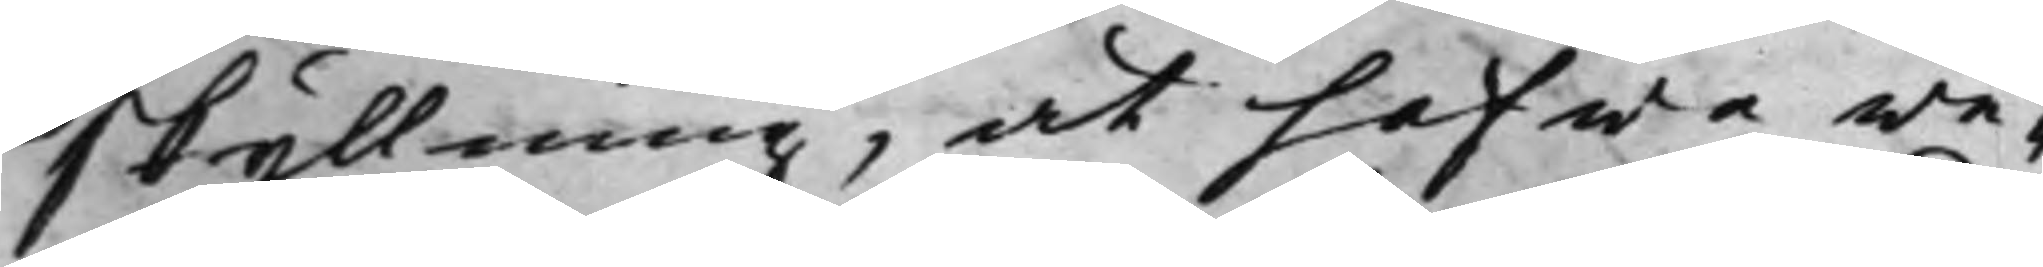skyllning, at hafwa we¬
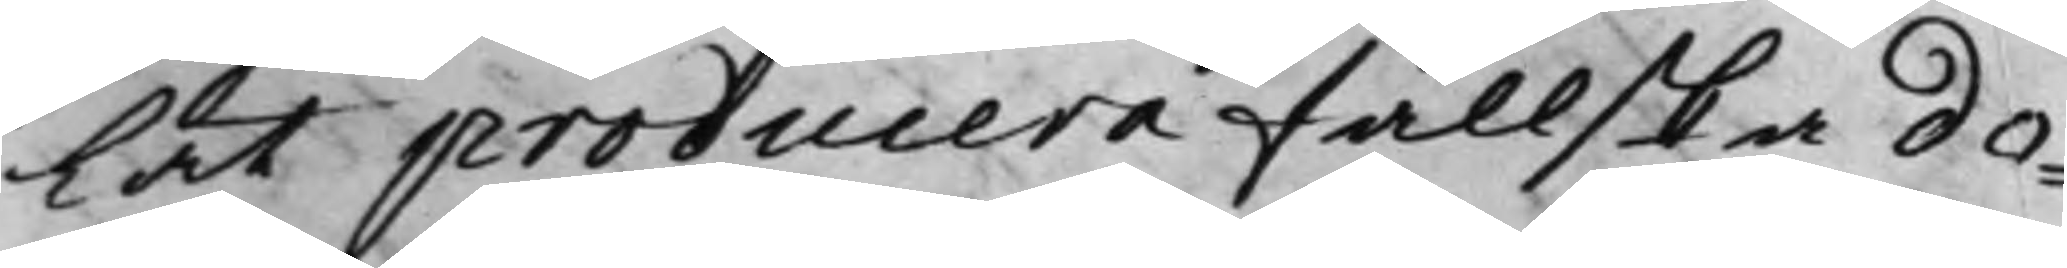lat producera fallska do¬
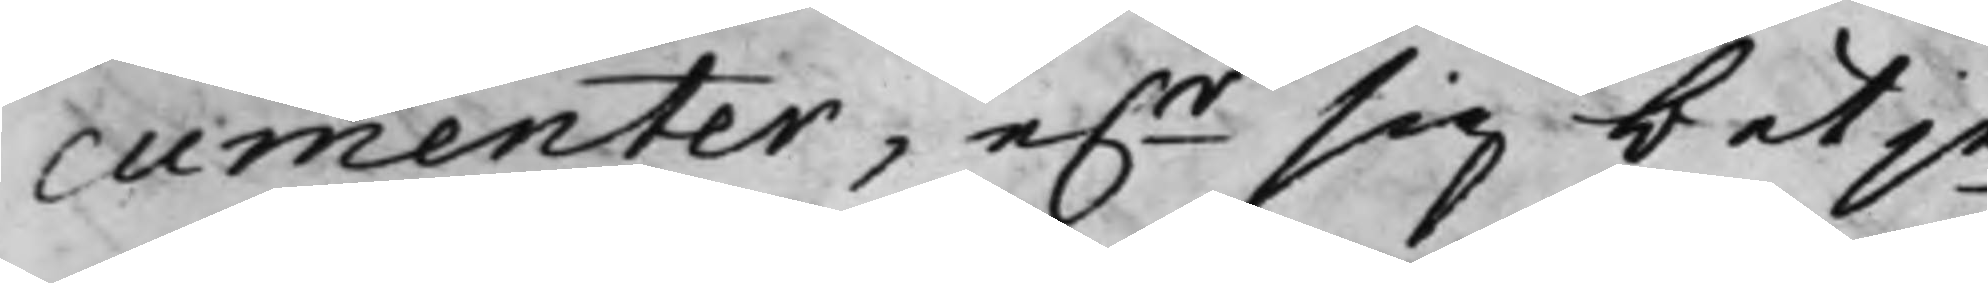cumenter, e.r sig betje¬
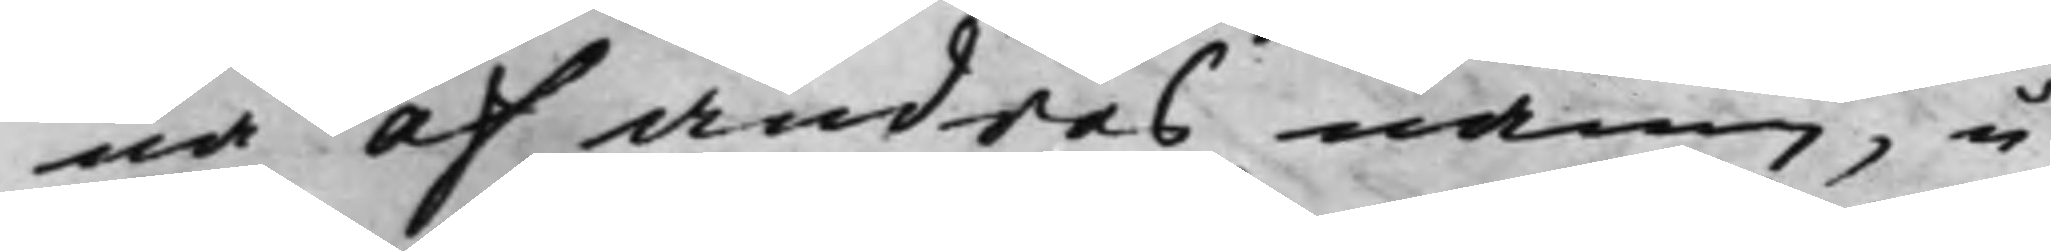na af andras namn, u¬
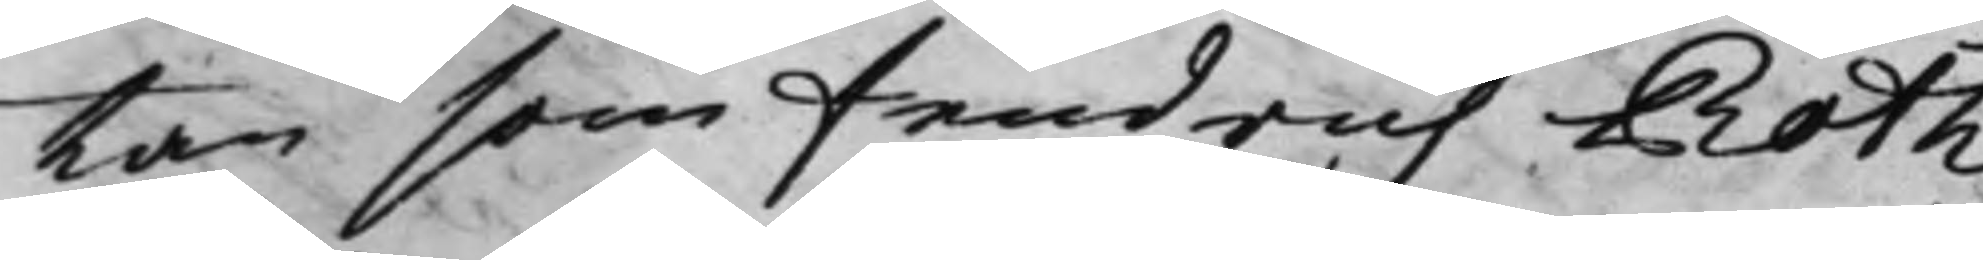tan som Fendrich Roth¬
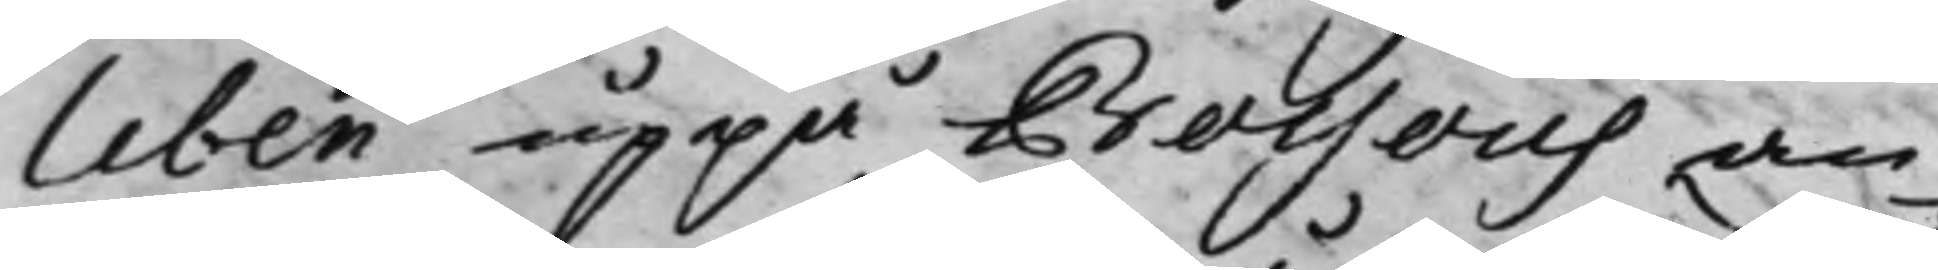leben uppå Bossous an¬
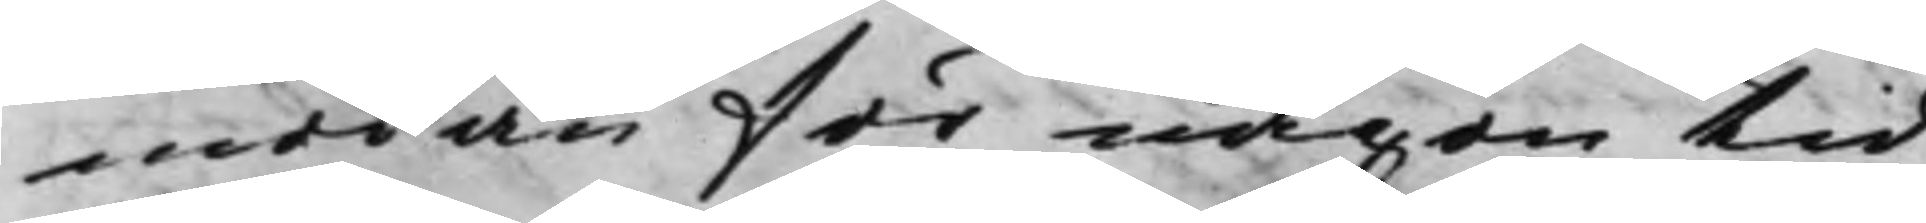modan för någon tid
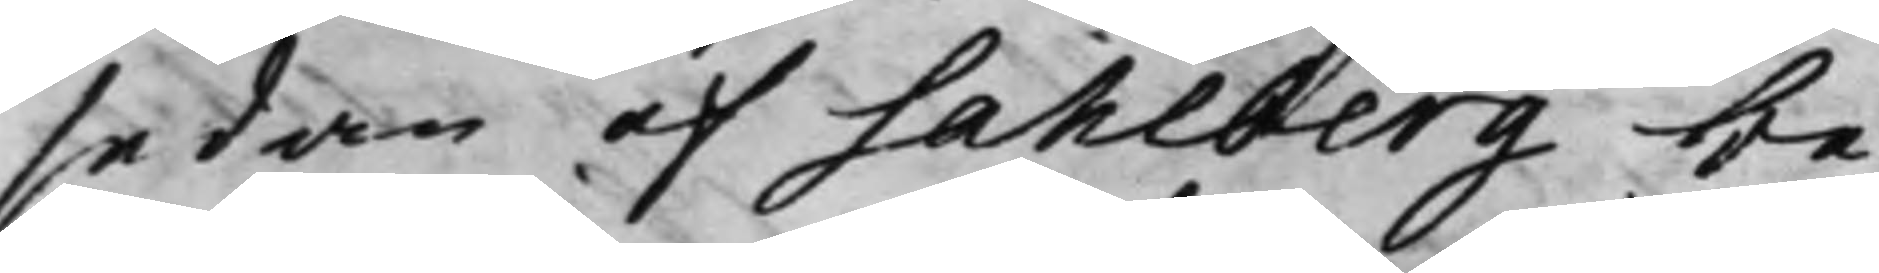sedan af Sahlberg be¬
